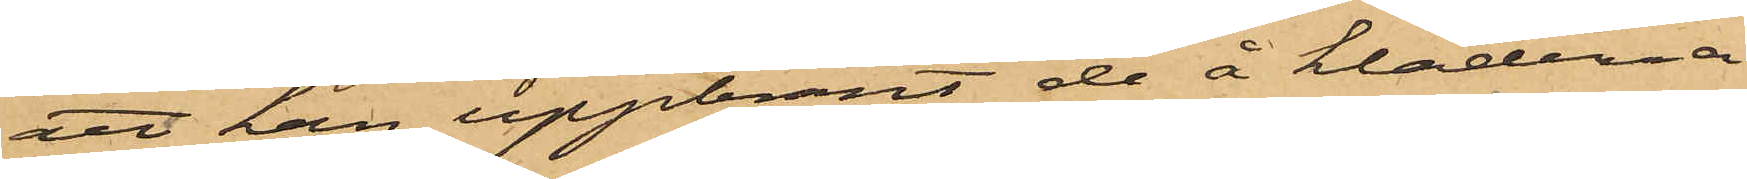att han uppbränt de å kläderna
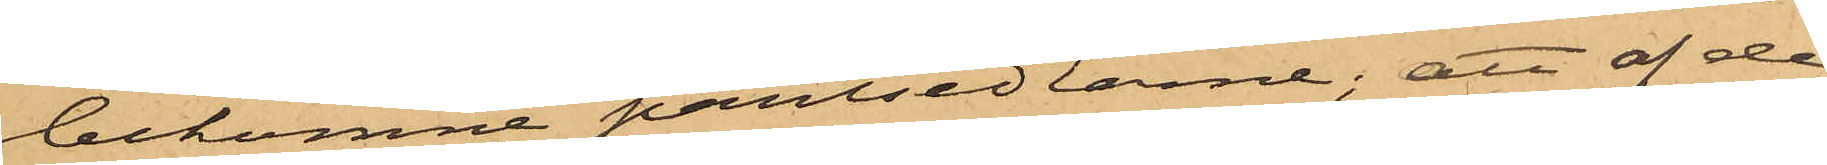bekomne pantsedlarne; att af de
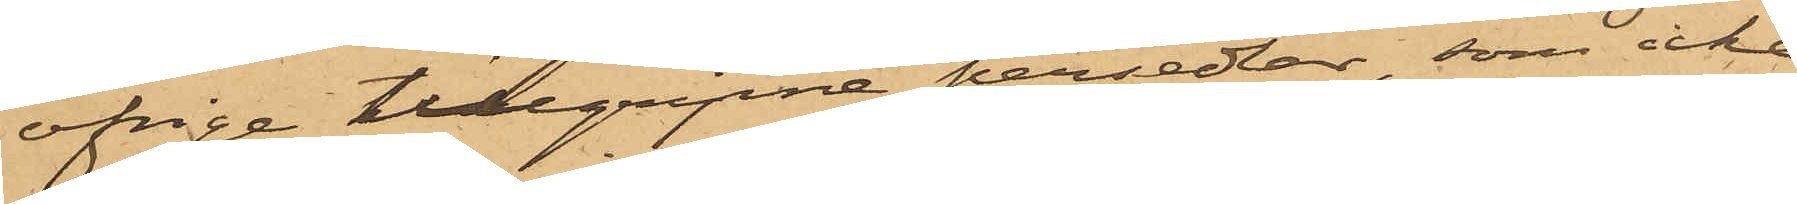öfrige tillgripne persedlar, som icke
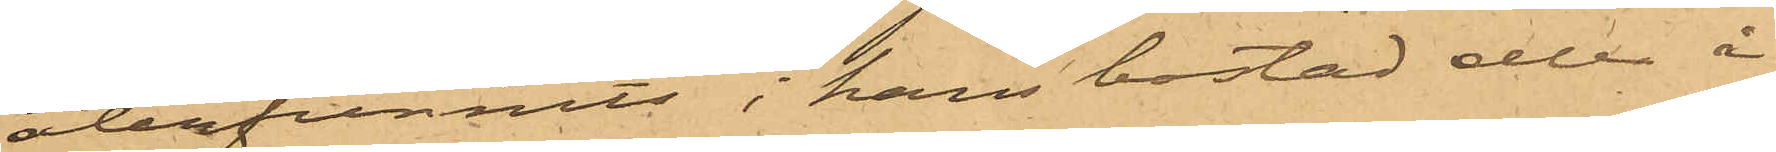återfunnits i hans bostad eller i
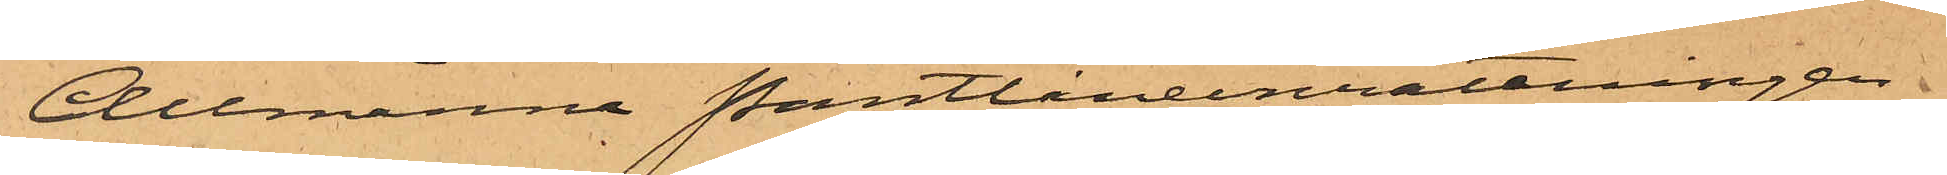Allmänna Pantlåneinrättningen
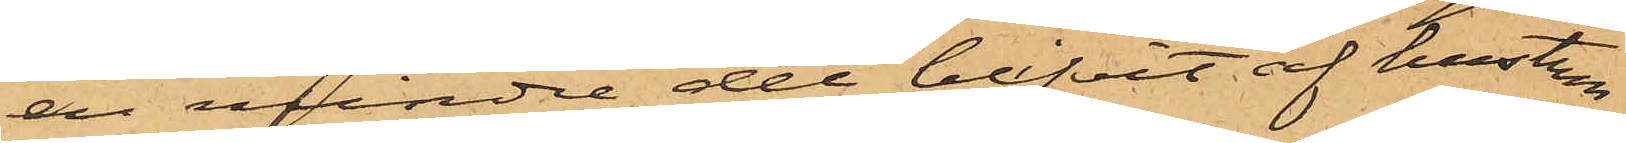en mindre del blifvit af hustru
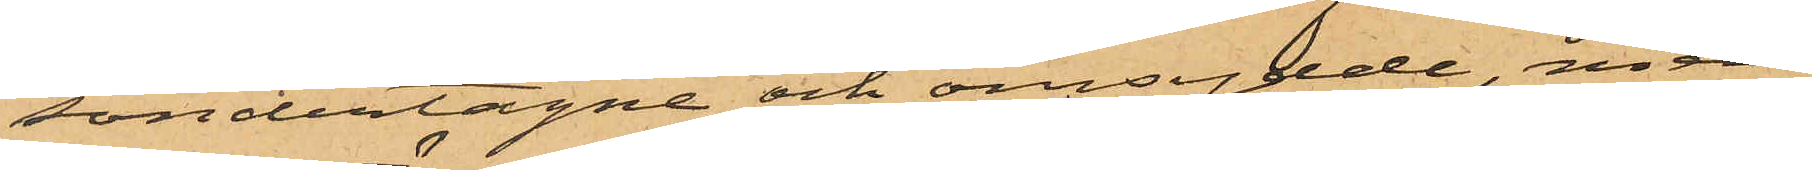söndertagne och omsydde, men
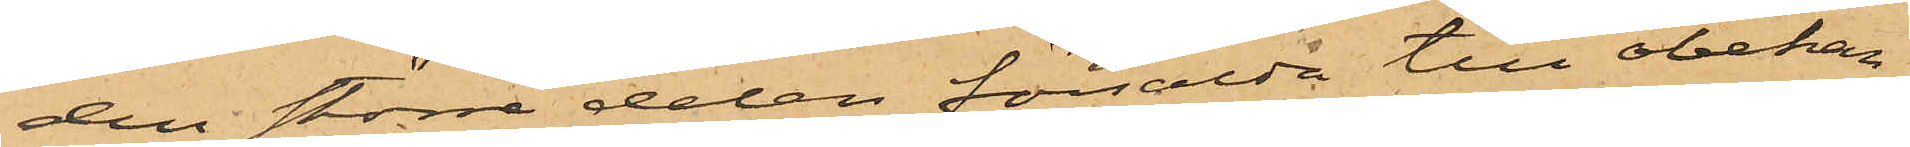den större delen försålda till obekan¬
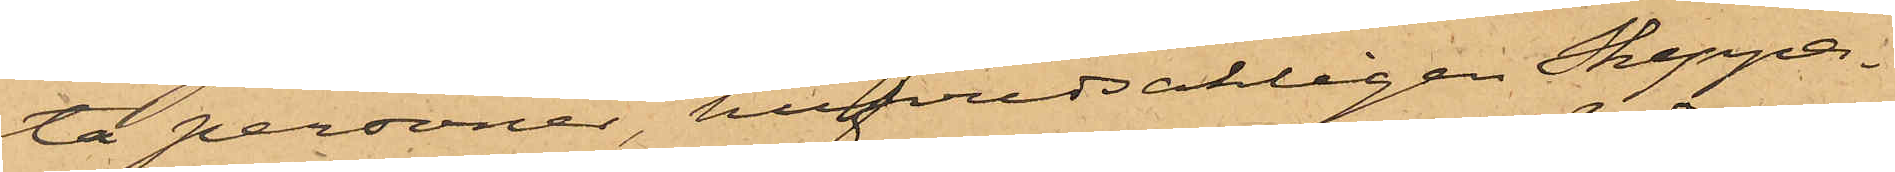ta personer, hufvudsakligen Skeppa¬
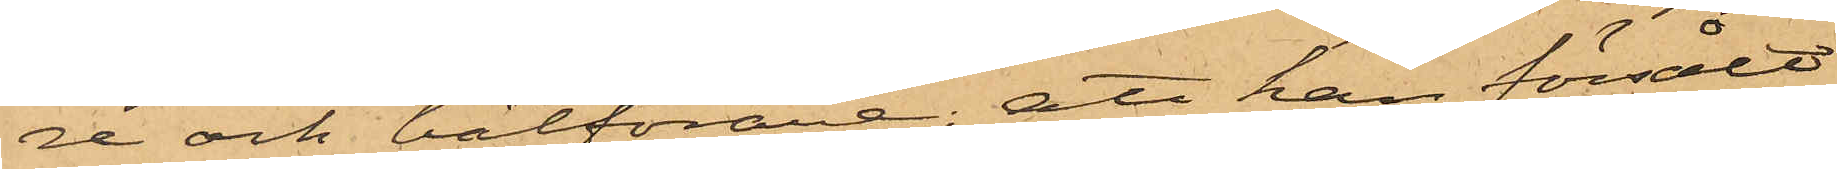re och båtförare; att han försålt
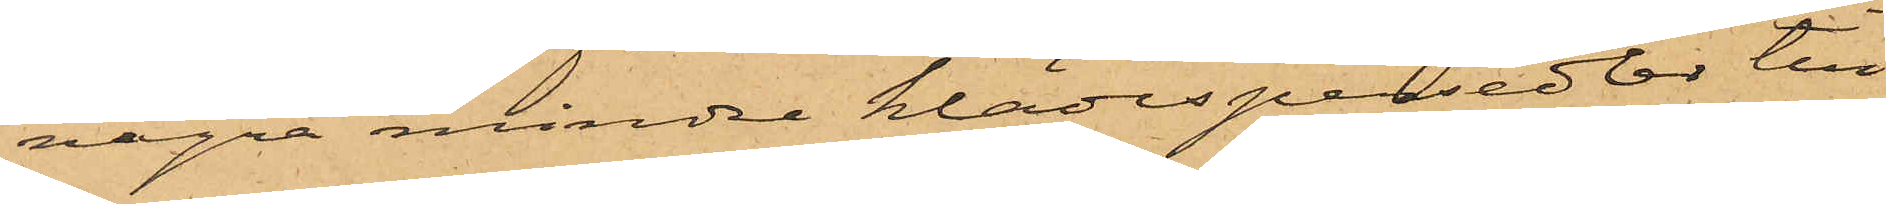några mindre klädespersedlar till
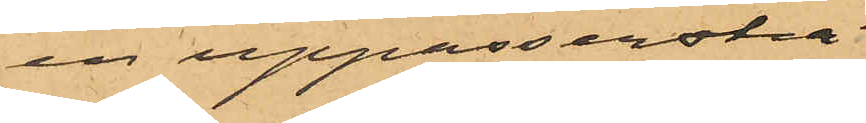en uppasserska
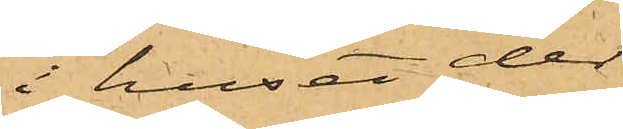i huset der
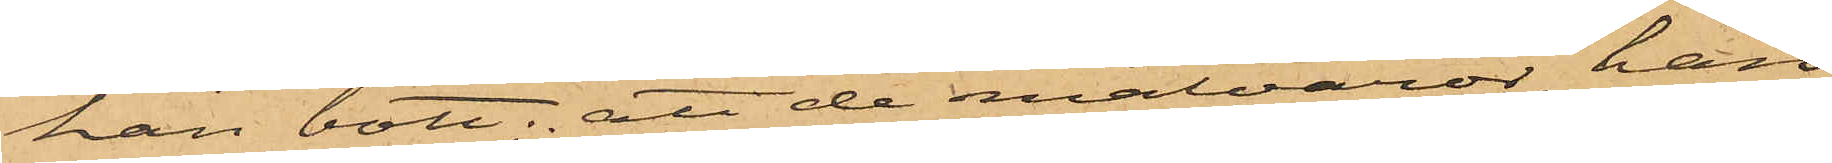han bott; att de matvaror han
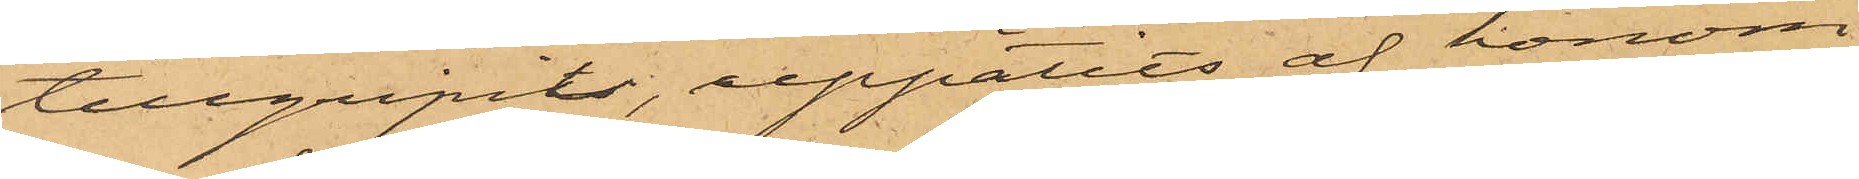tillgripit, uppätits af honom
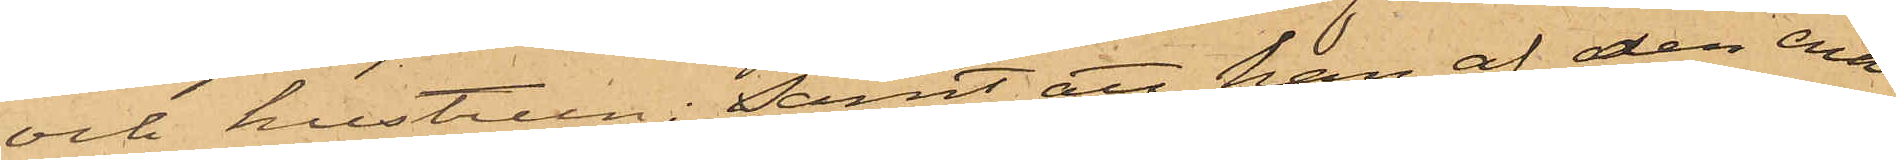och hustrun; samt att han af den ena
